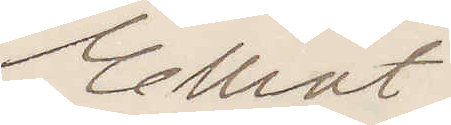Elliot.
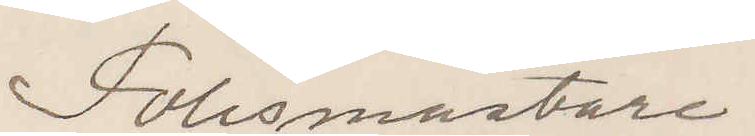Polismästare
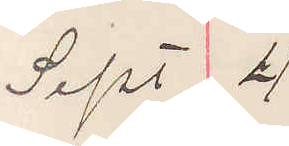Sept 4
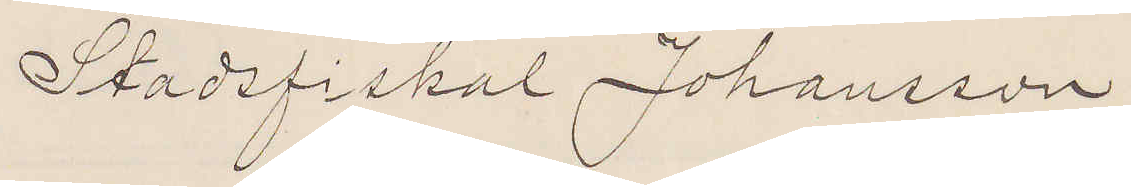Stadsfiskal Johansson
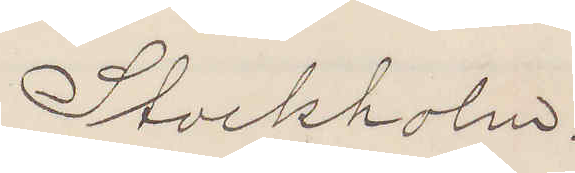Stockholm.
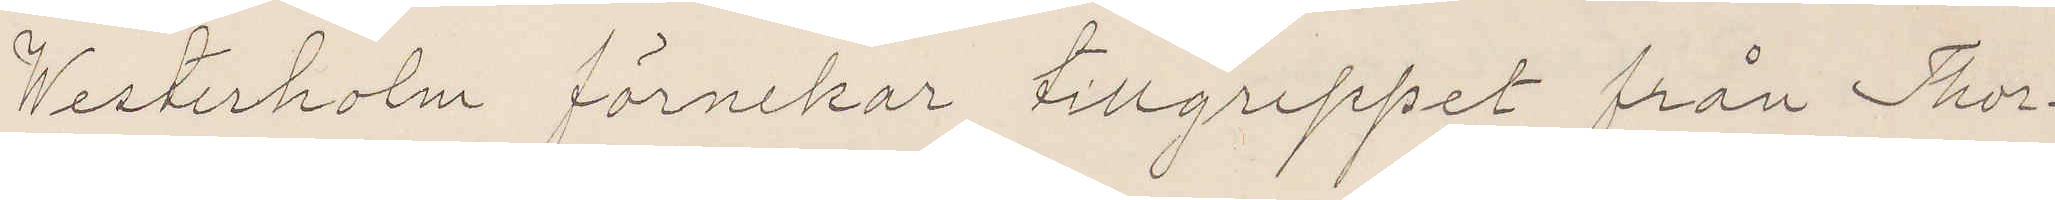Westerholm förnekar tillgreppet från Thor¬
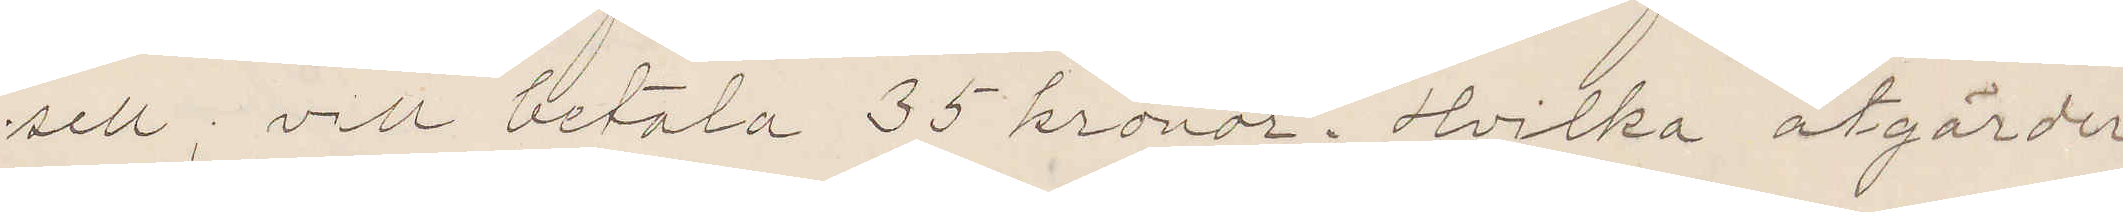sell; vill betala 35 kronor. Hvilka åtgärder
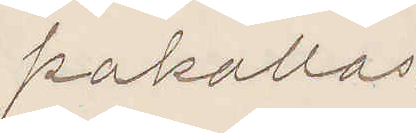pakallas.
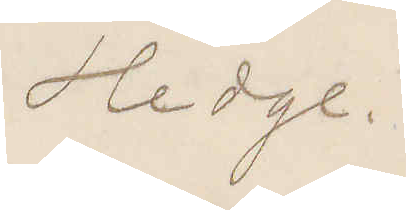Hedge.
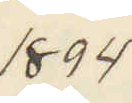1894
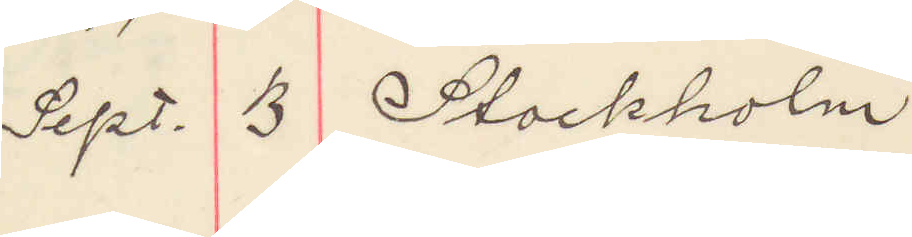Sept. 13 Stockholm
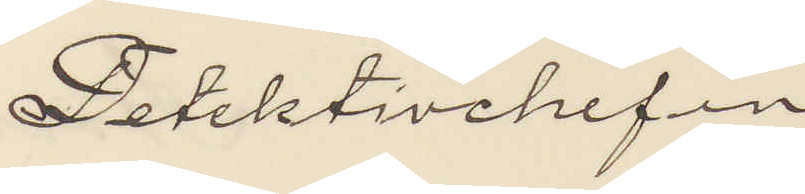Detektivchefen
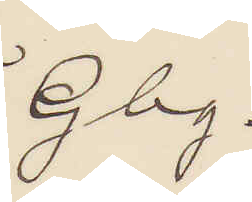Gbg.
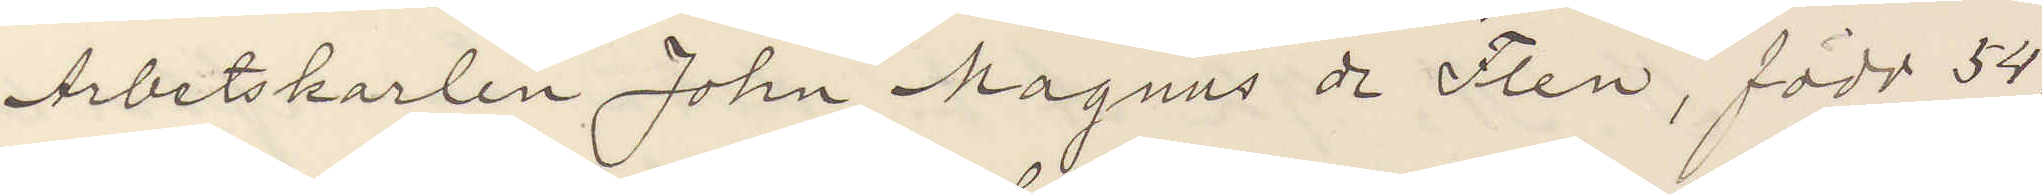Arbetskarlen John Magnus de Flen, född 54,
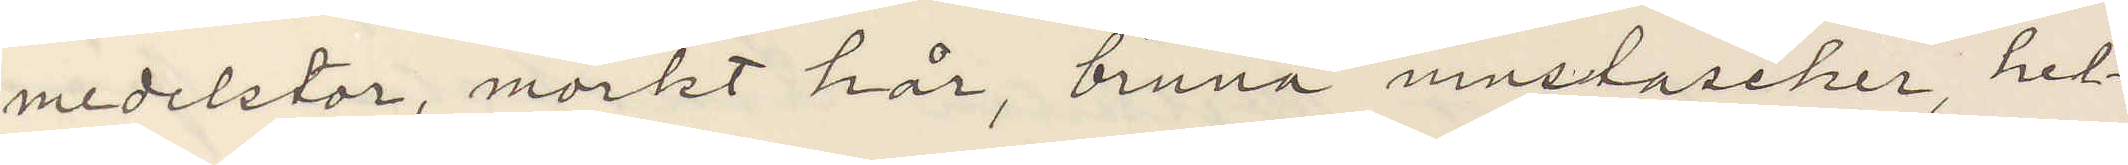medelstor, mörkt hår, bruna mustascher, hel¬
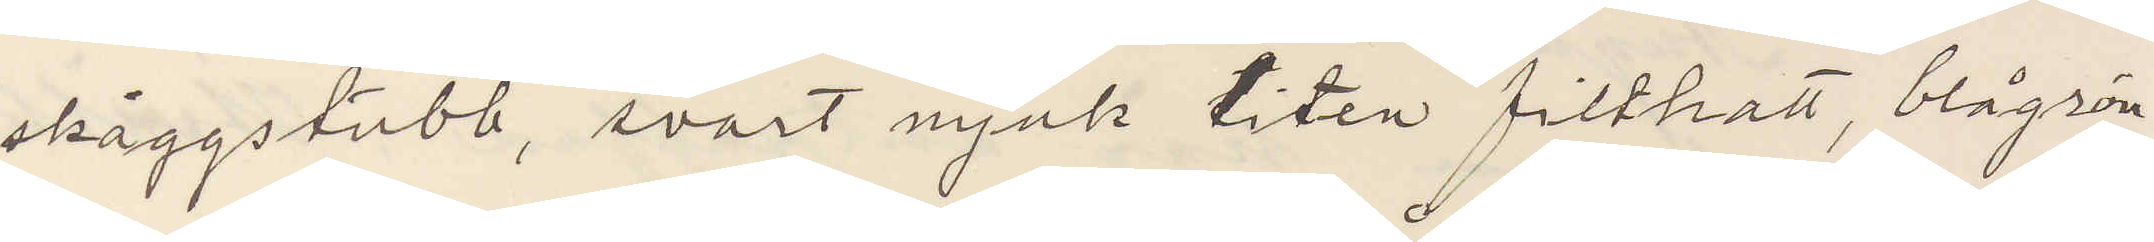skäggstubb, svart mjuk liten filthatt, blågrön
